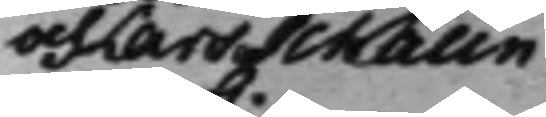och Lars Schalin
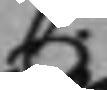C:
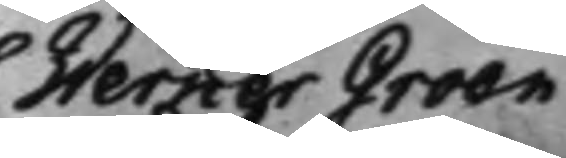Werner Groen
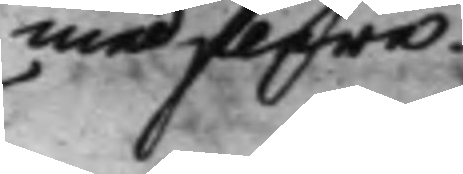med flere.
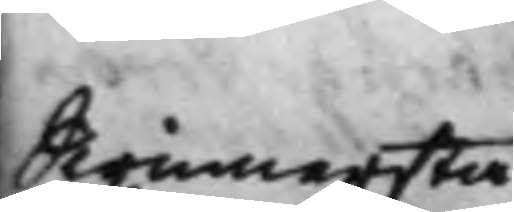Swinnersta
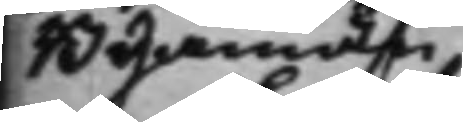Byamän
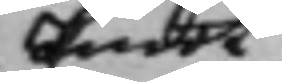Emot
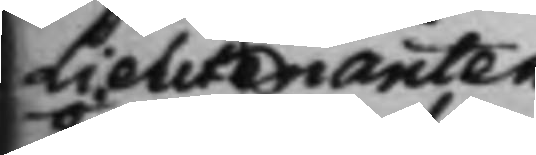Lieutenanten
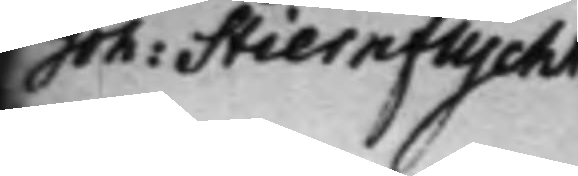Joh: Stiernflycht
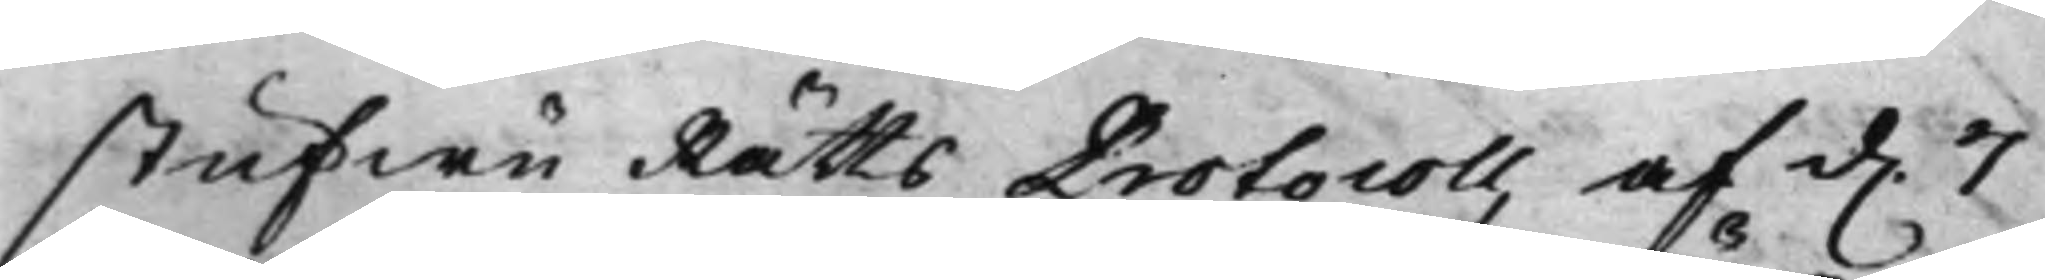stufwu Rätts Protocoll, af d. 7
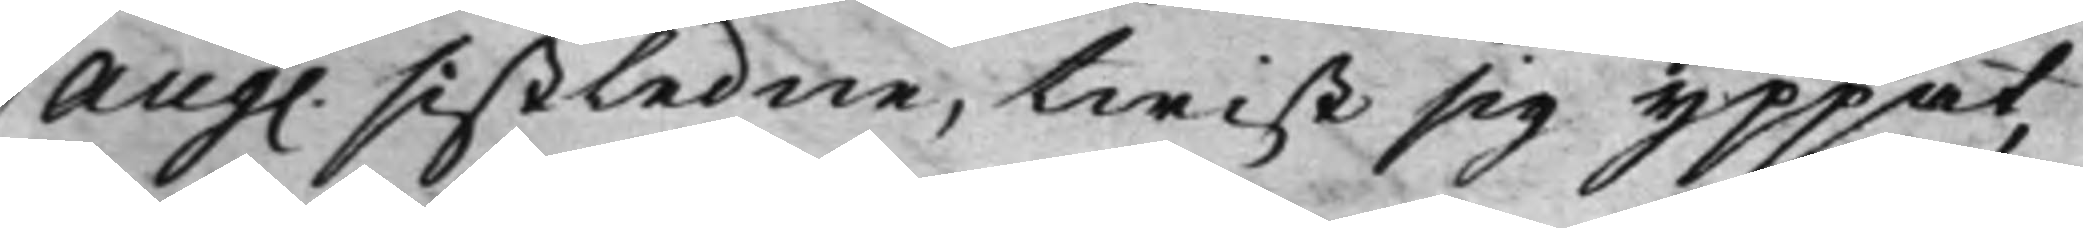Aug. sistledne, twist sig yppat,
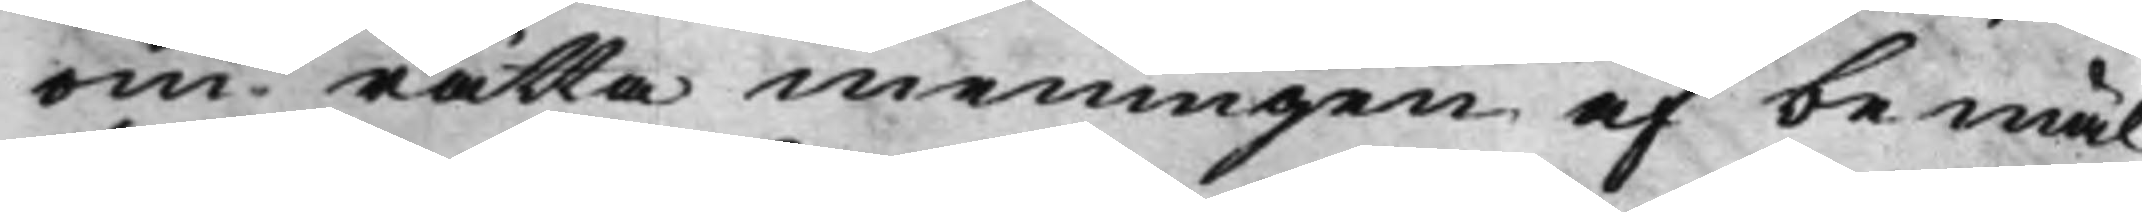om rätta meningen af bemäl¬
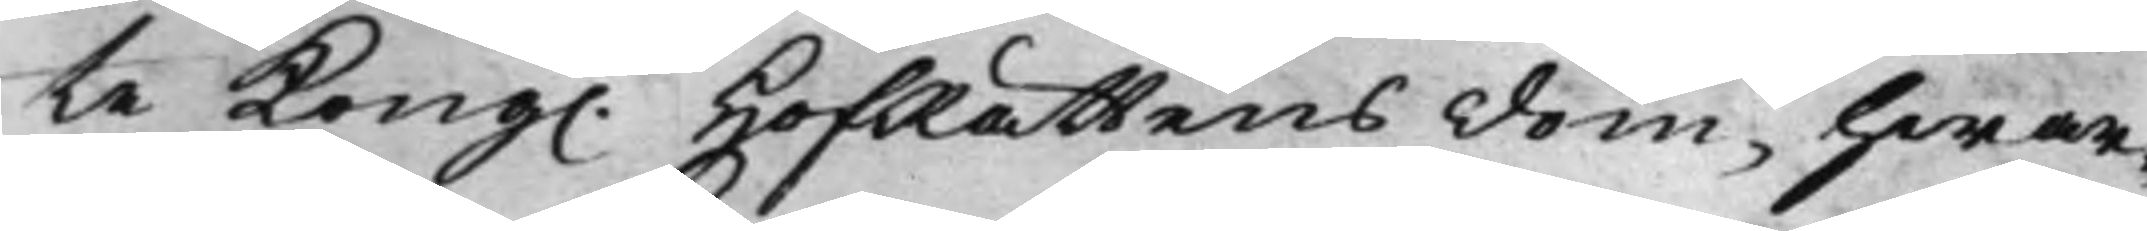te Kong. HofRättens dom, hwar¬
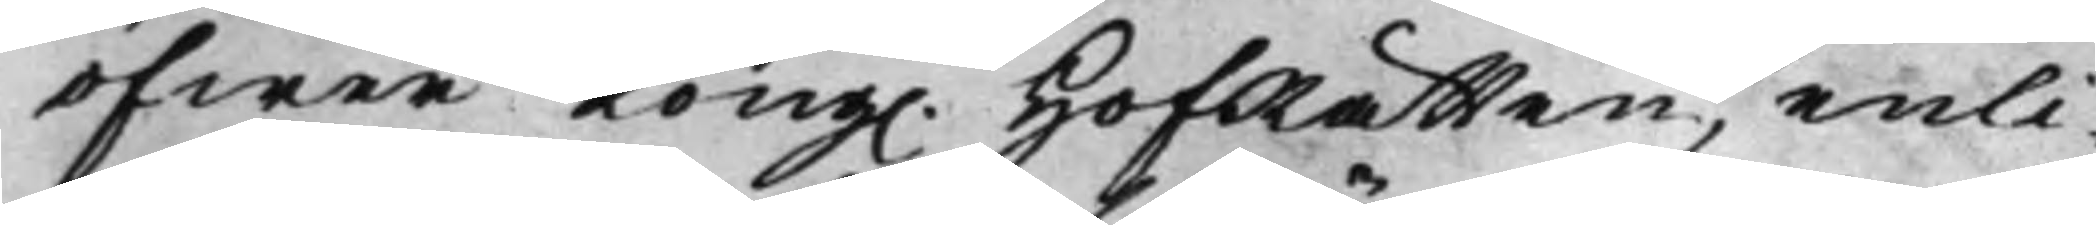öfwer Kong. HofRätten, enli¬
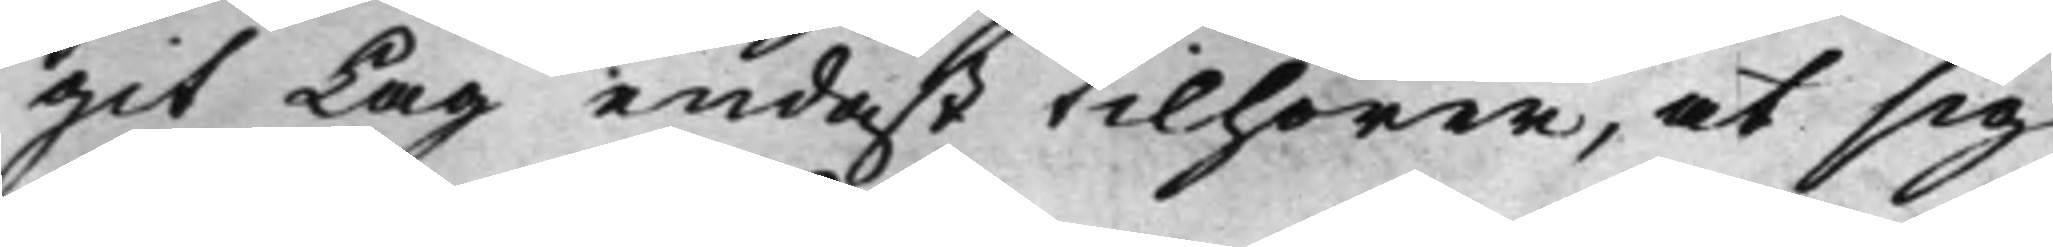git Lag endast tilhörer, at sig
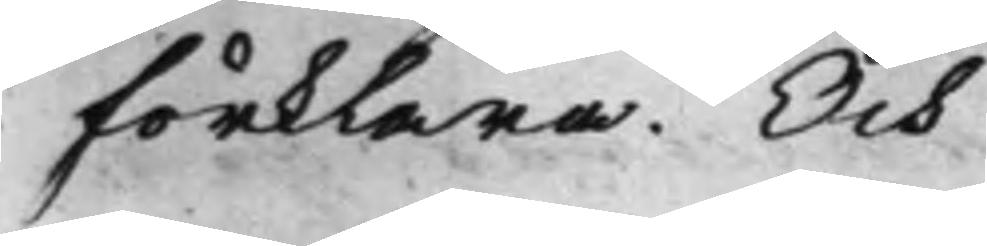förklara. Och
